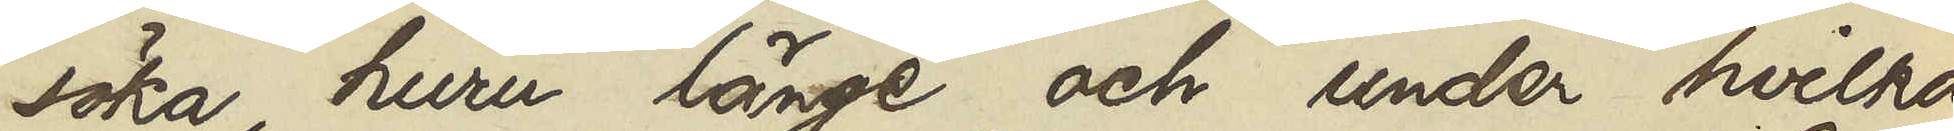söka, huru länge och under hvilka
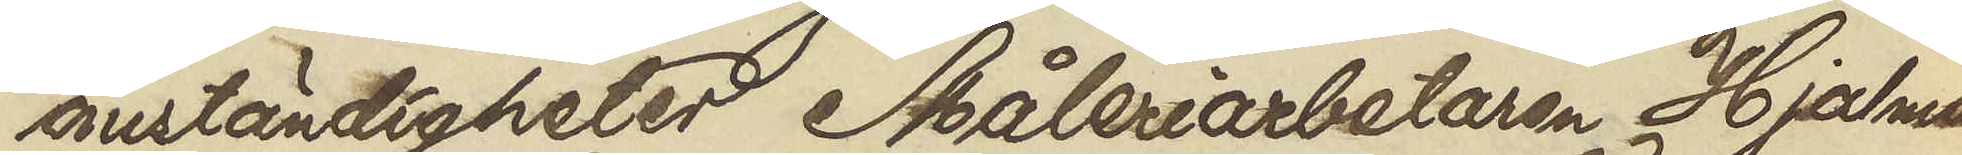omständigheter Måleriarbetaren Hjalmar
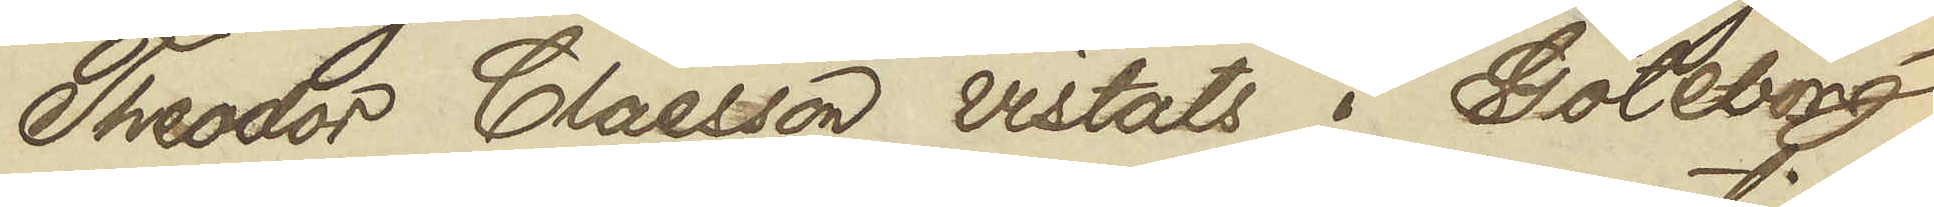Theodor Claesson vistats i Göteborg,
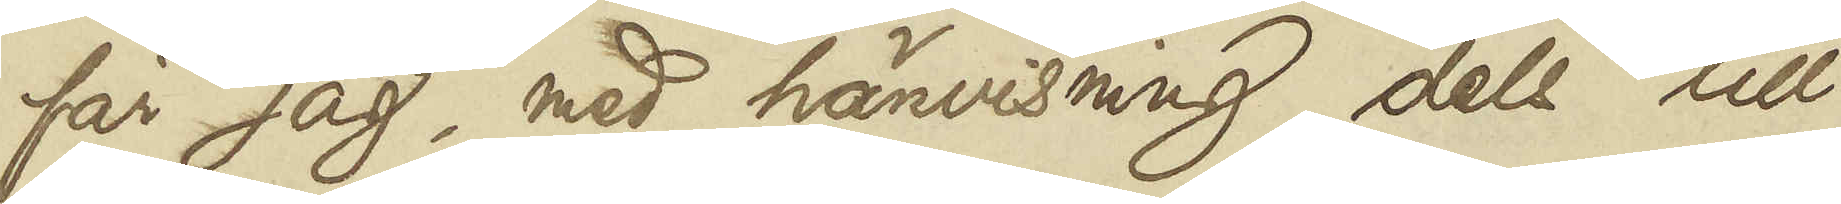får jag, med hänvisning dels till
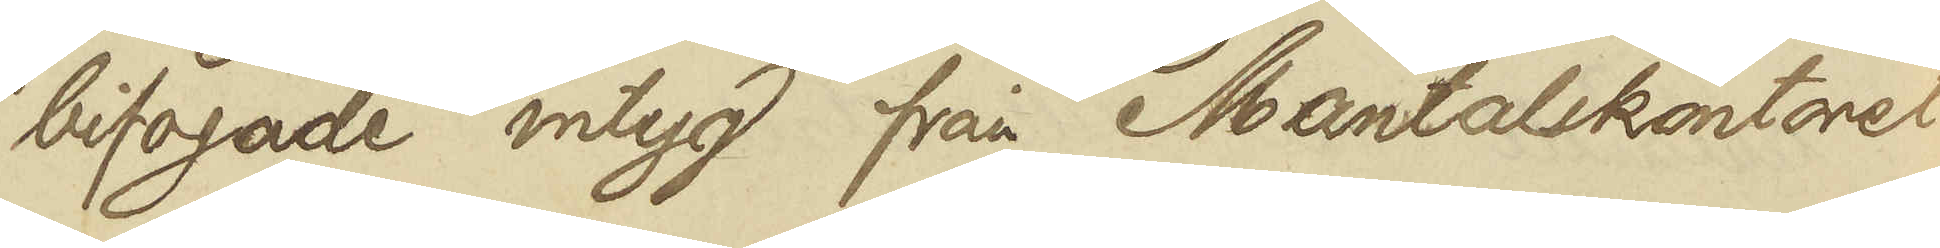bifogade intyg från Mantalskontoret
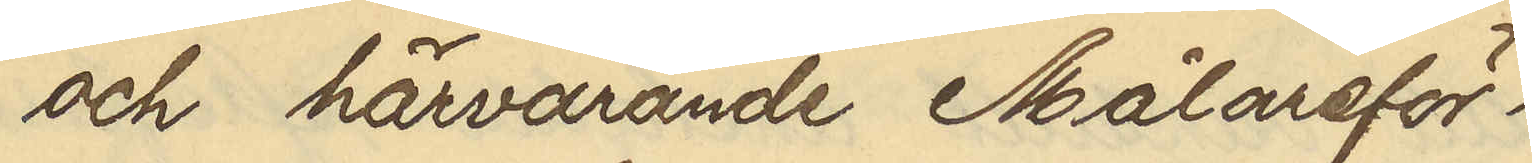och härvarande Målareför¬
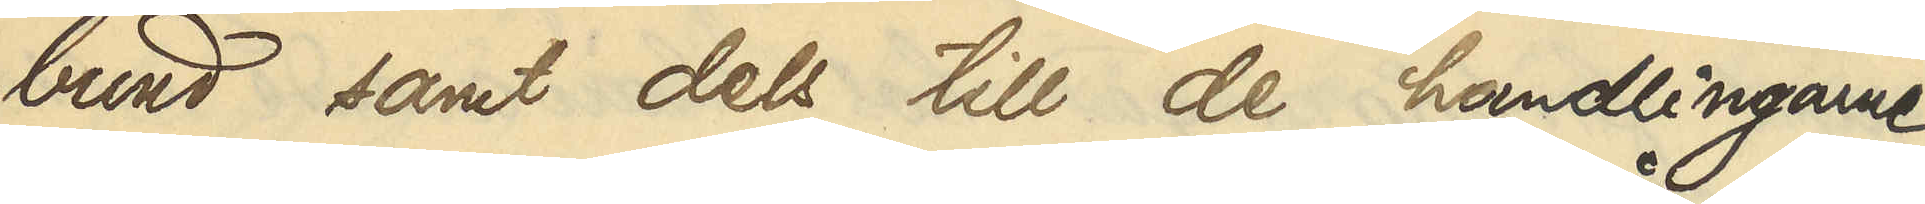bund samt dels till de handlingarne
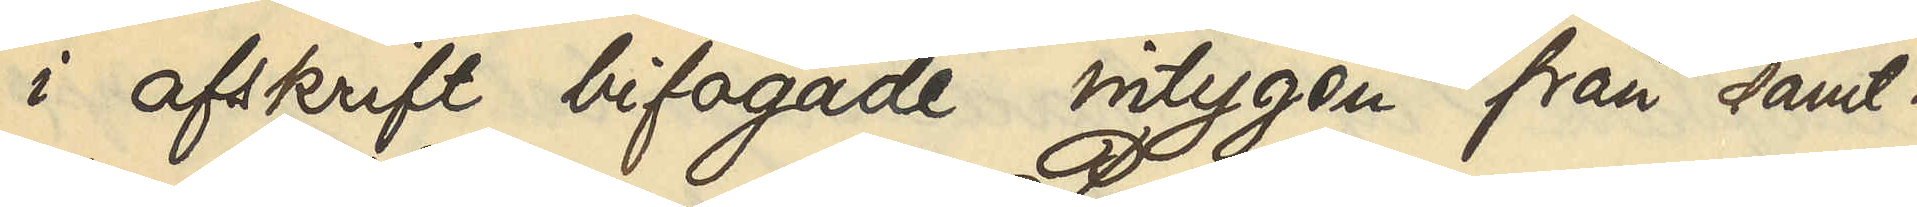i afskrift bifogade intygen från samt¬
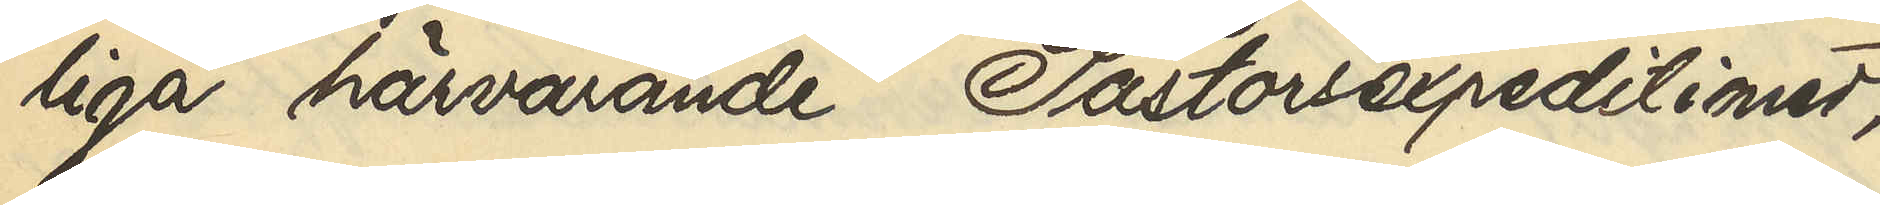liga härvarande Pastorsexpeditioner,
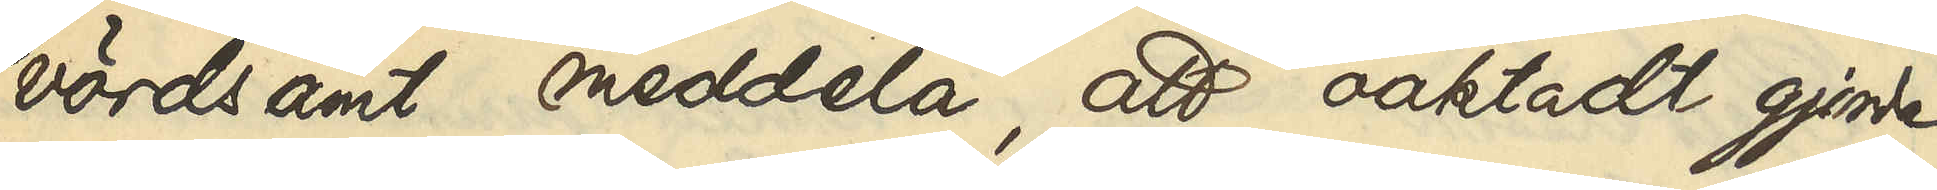vördsamt meddela, att oaktadt gjorde
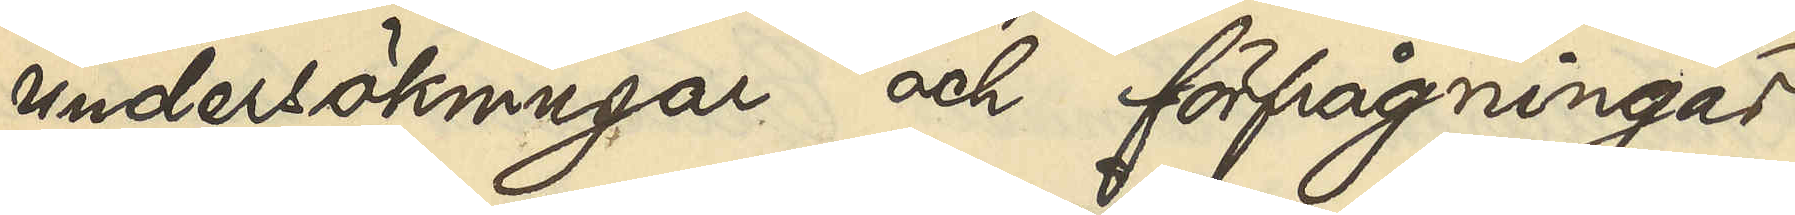undersökningar och förfrågningar
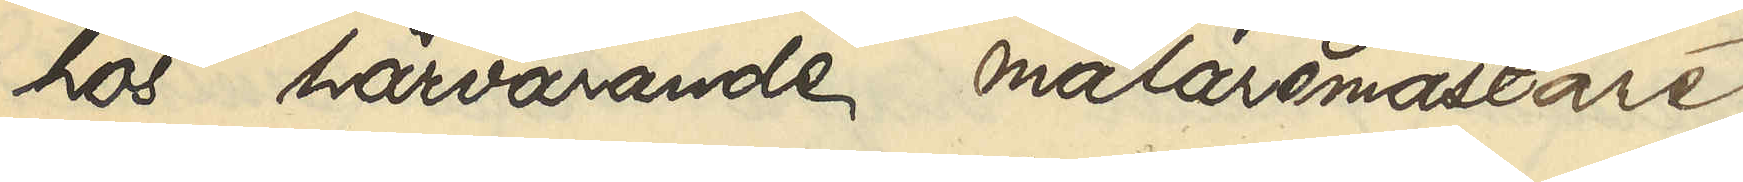hos härvarande målaremästare
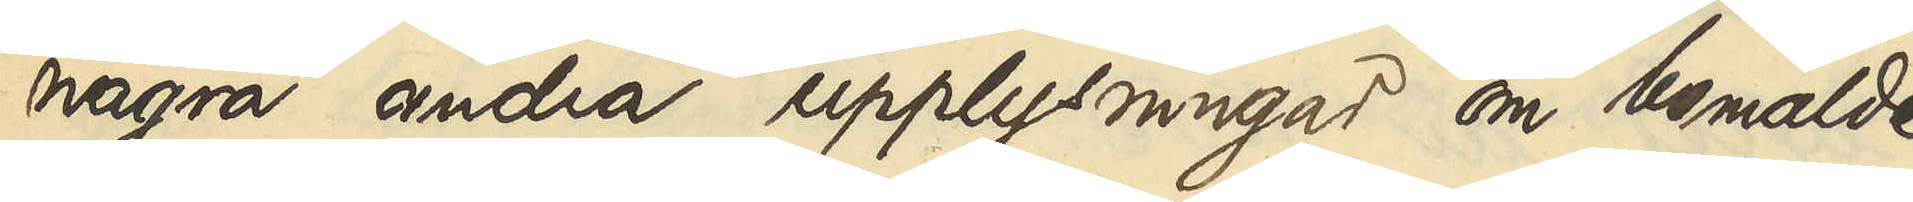några andra upplysningar om bemälde
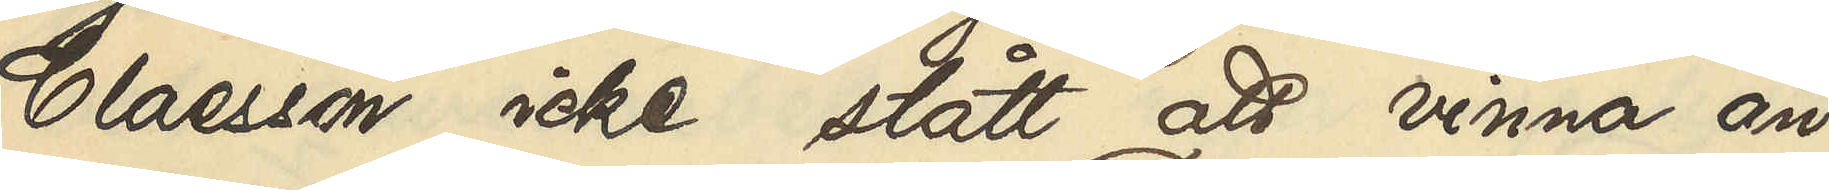Claesson icke stått att vinna än
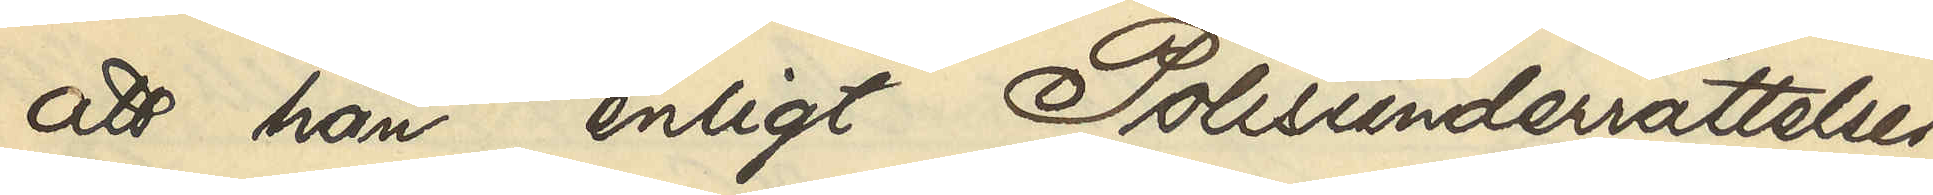att han, enligt Polisunderrättelser
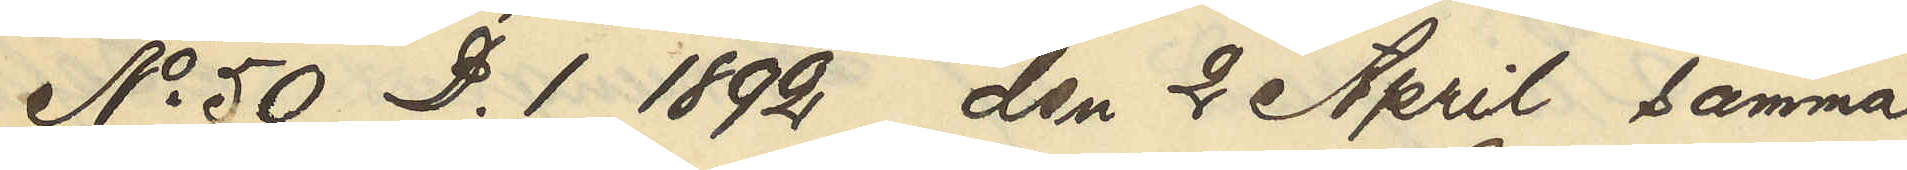No 50 D.1 1892 den 2 April samma
